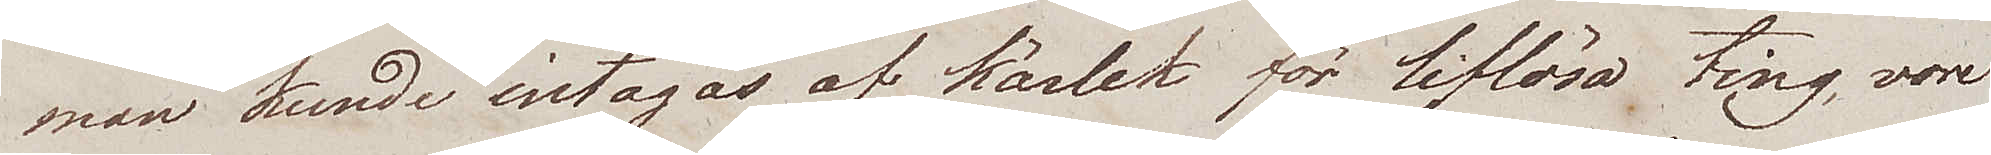man kunde intagas af kärlek för liflösa ting, vore
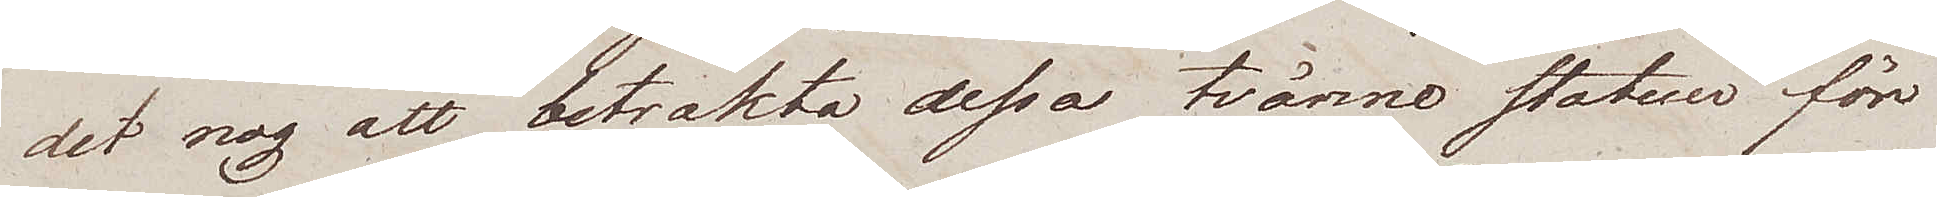det nog att betrakta dessa tvänne statuer för
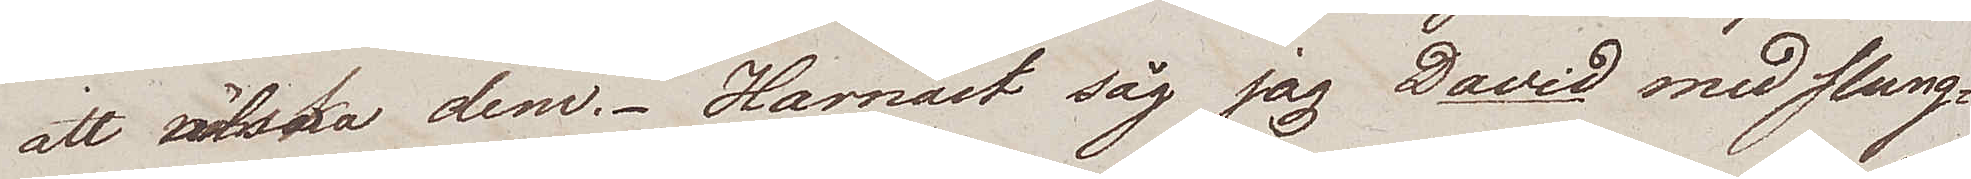att älska dem. Härnäst såg jag David med slung¬
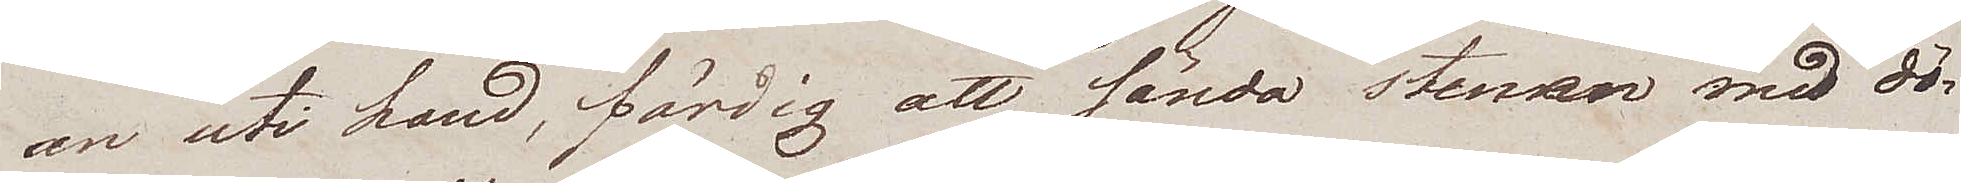an uti hand, färdig att sända stenen med dö¬
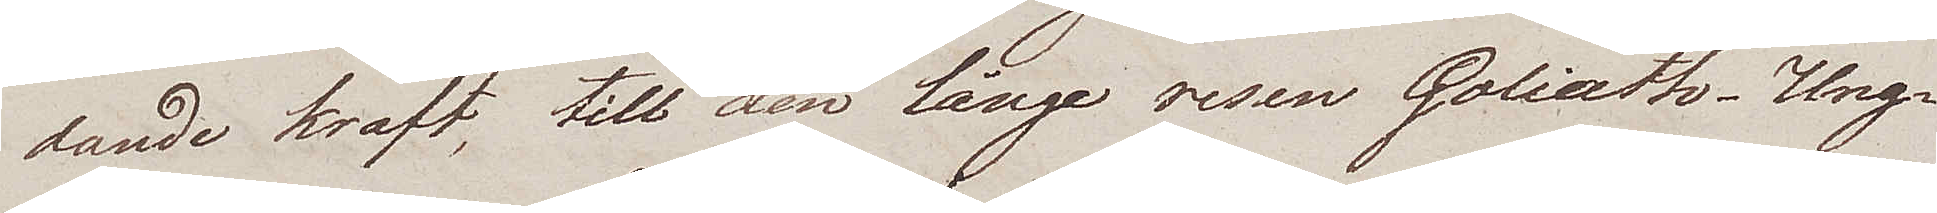dande kraft, till den långe resen Goliath. Ung¬
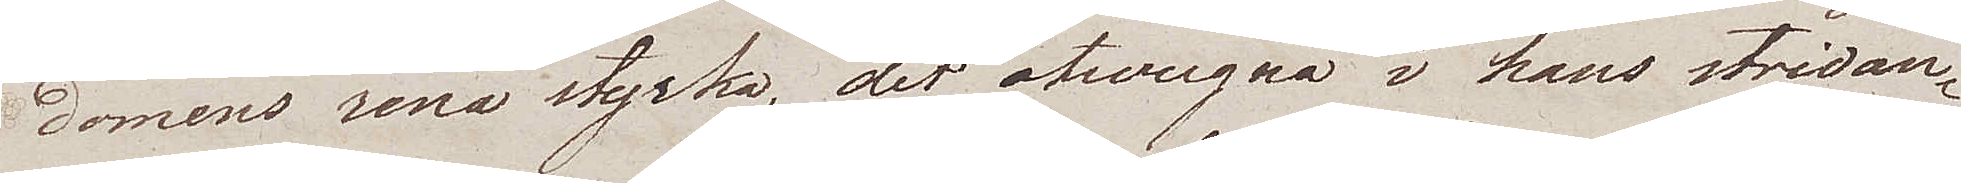domens rena styrka, det otvungna i hans stridan¬
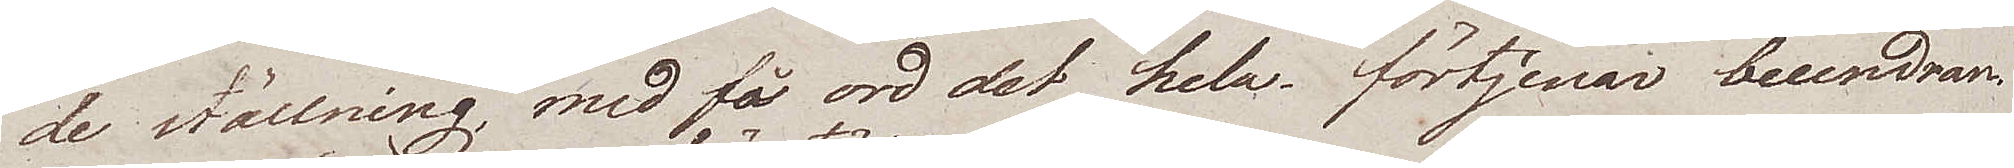de ställning, med få ord det hela, förtjenar beundran.
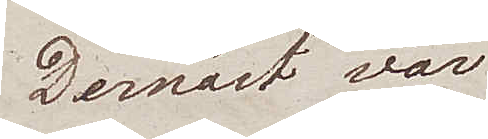Dernäst var
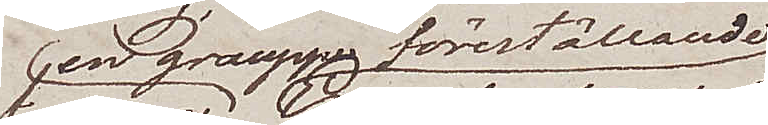en grouppe föreställande
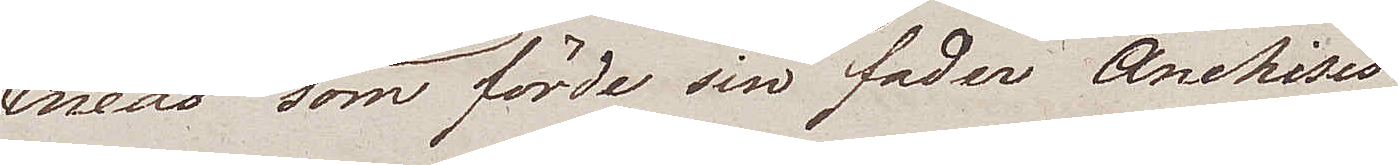Eneas som förde sin fader Anchises
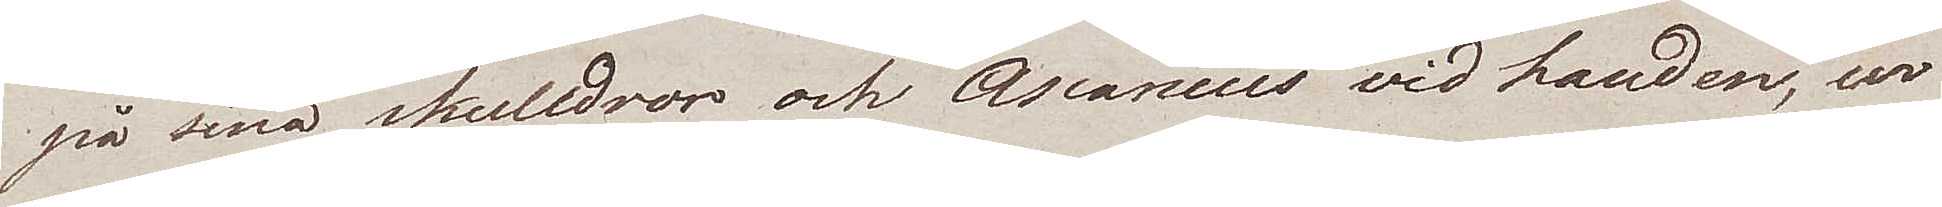på sina skulldror och Ascanius vid handen, ur
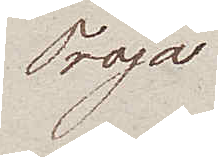Troja
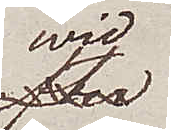wid
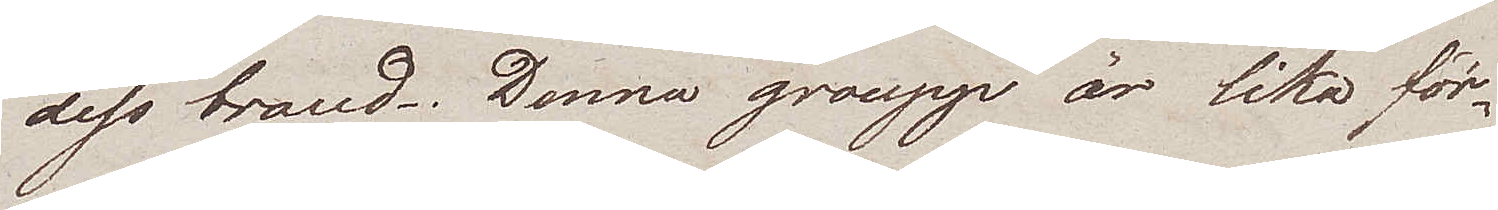dess brand. Denna groupp är lika för¬
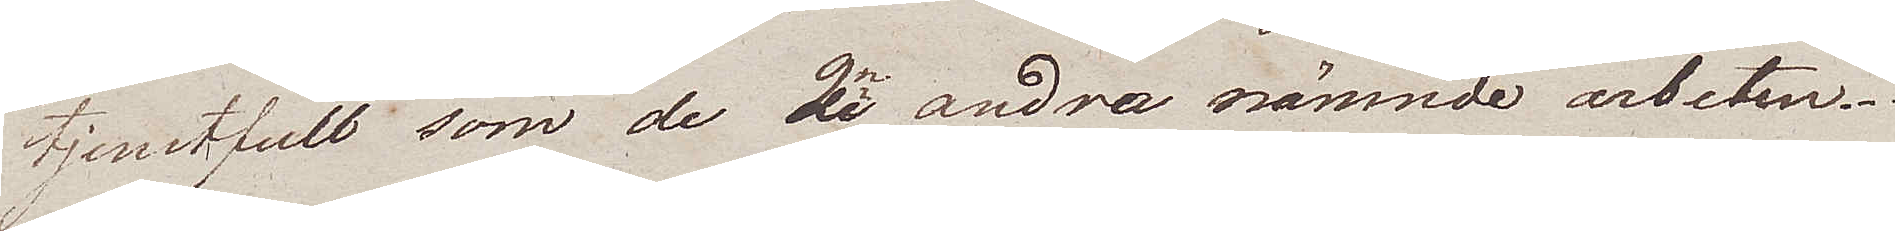tjenstfull som de 2ne andra nämnde arbeten.
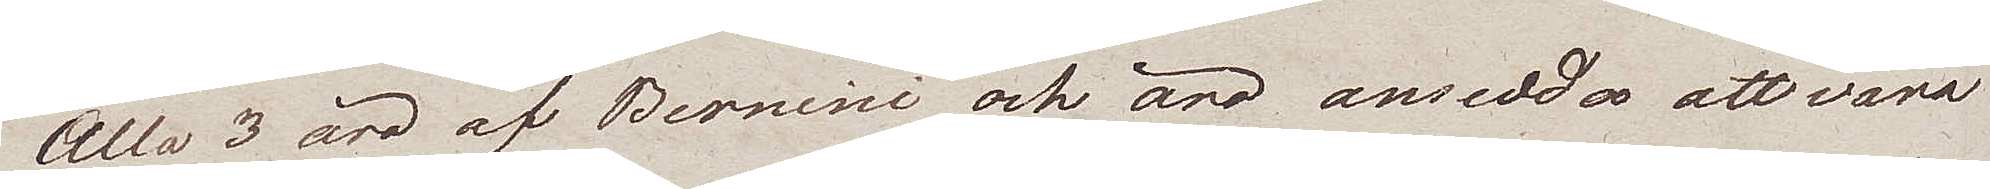Alla 3 äro af Bernini och äro ansedda att vara
